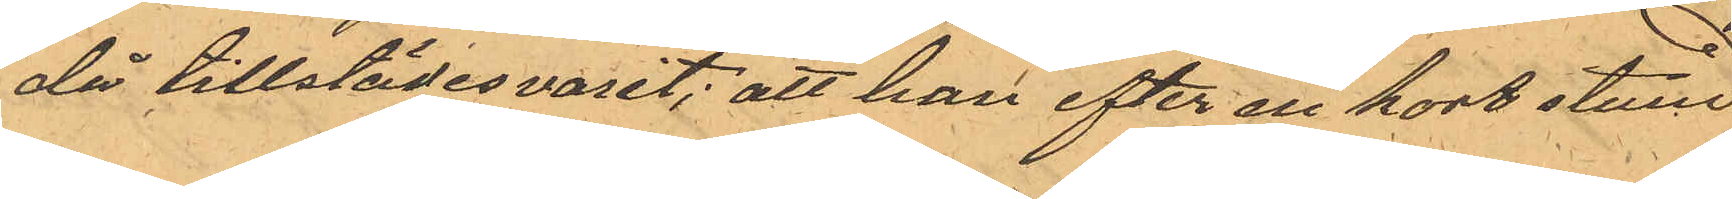då tillstädesvarit; att han efter en kort stund
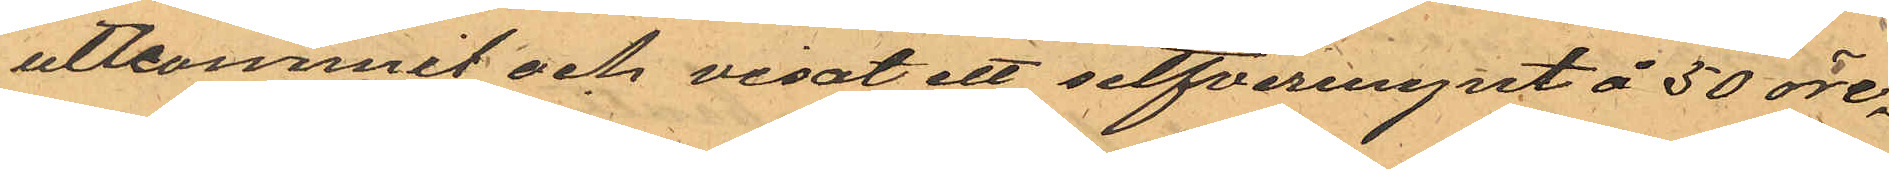utkommit och visat ett silfvermynt å 50 öre,
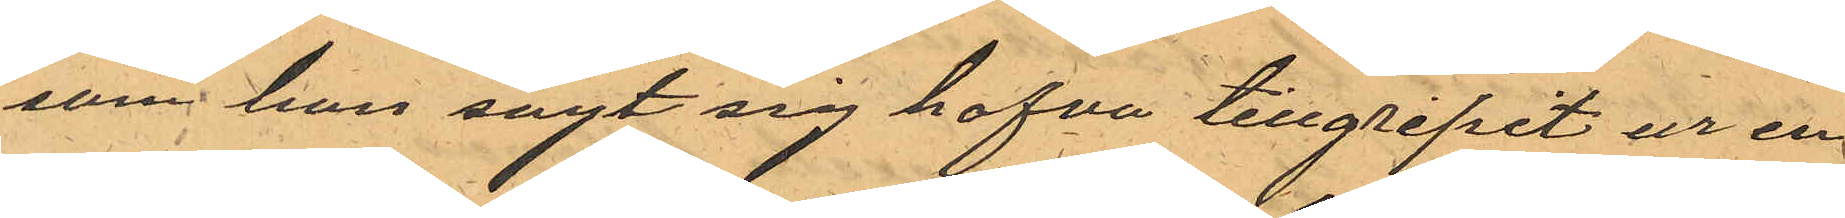som han sagt sig hafva tillgripit ur en
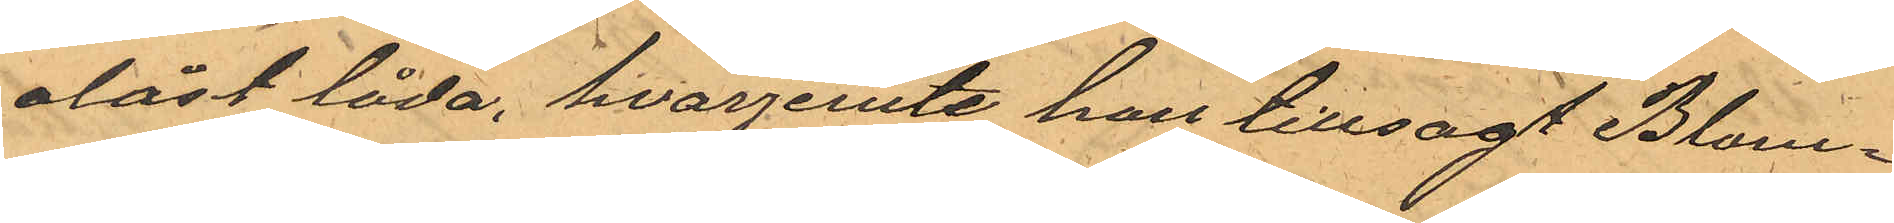olåst låda, hvarjemte han tillsagt Blom¬
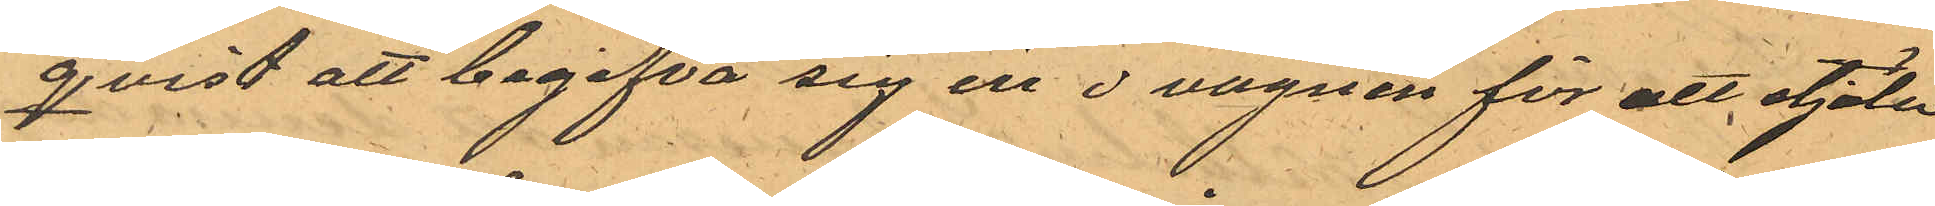qvist att begifva sig in i vagnen för att stjäla
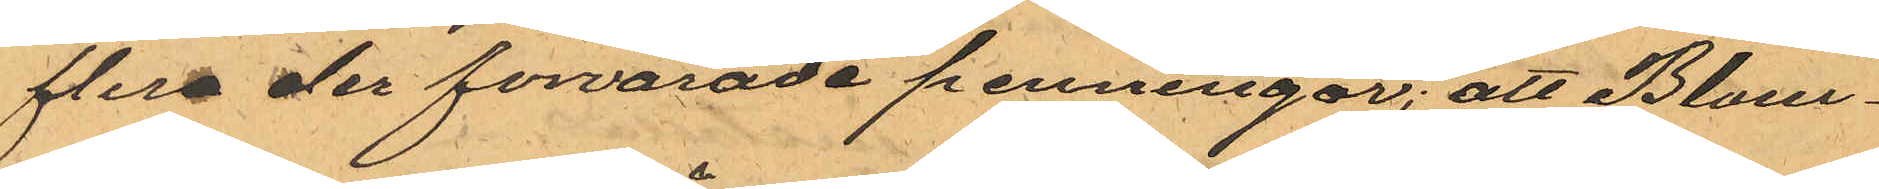flera der forvarade penningar; att Blom¬
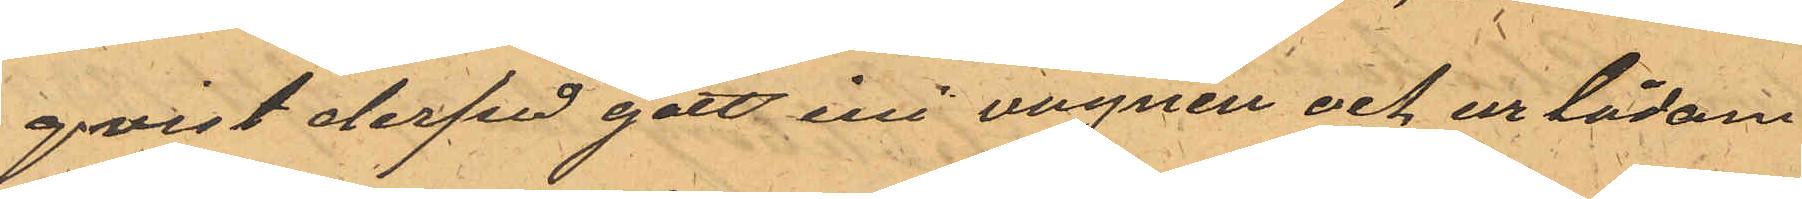qvist derpå gått ini vagnen och ur lådan
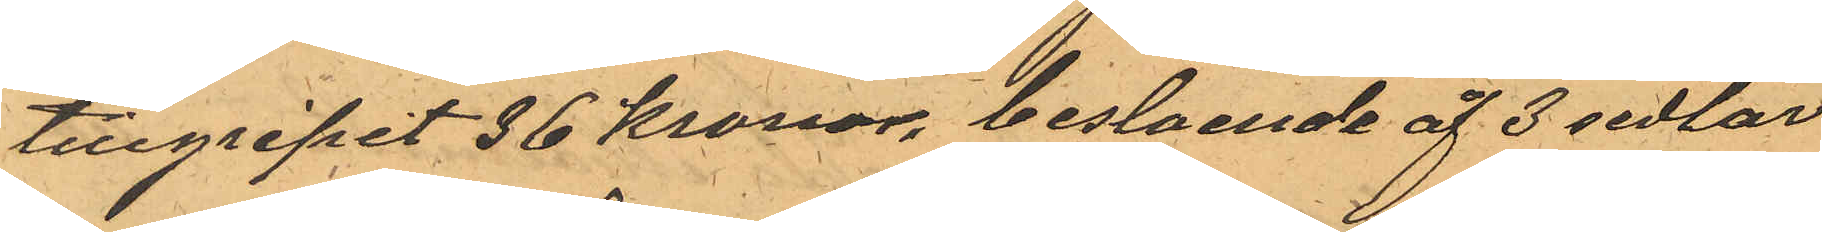tillgripit 36 Kronor, bestående åf 3 sedlar
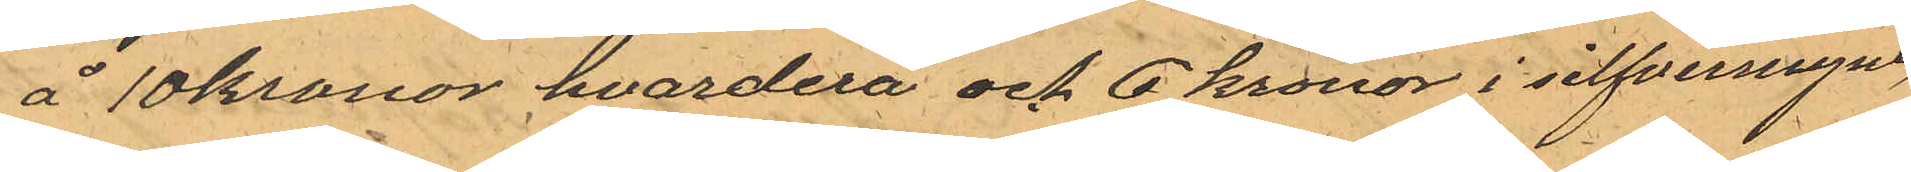å 10 kronor hvardera och 6 kronor i silfvermynt,
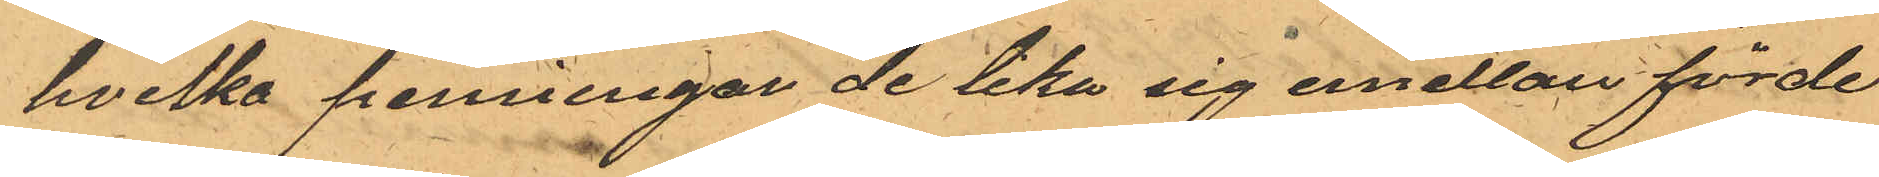hvilka penningar de lika sig emellan förde¬
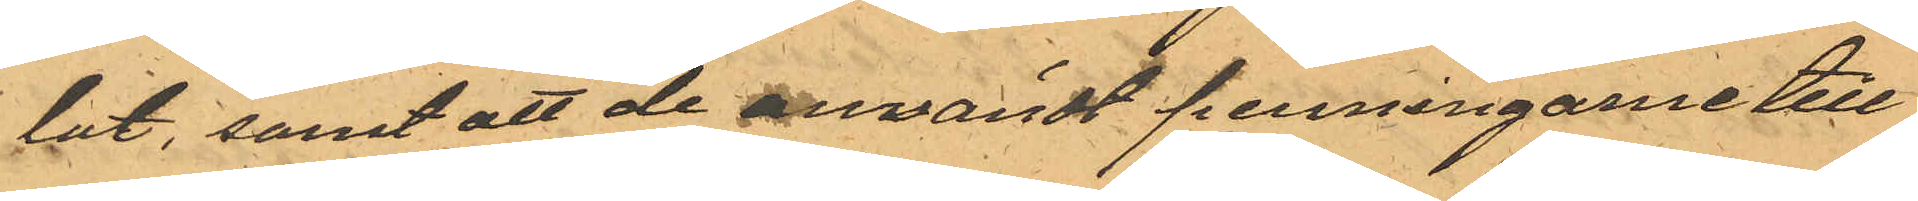lat, samt att de användt penningarne till
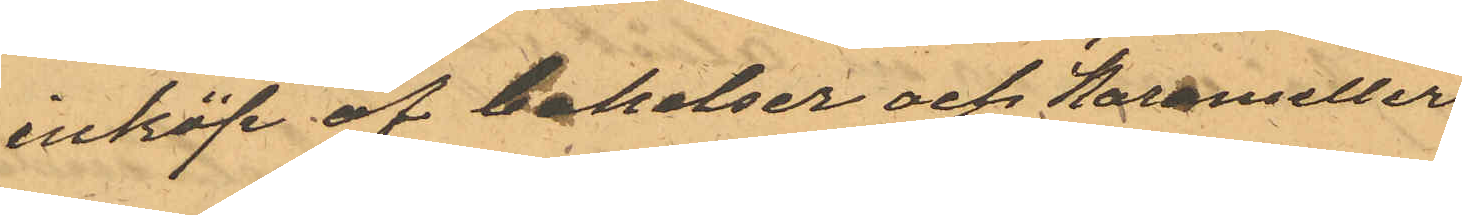inköp af bakelser och Karameller
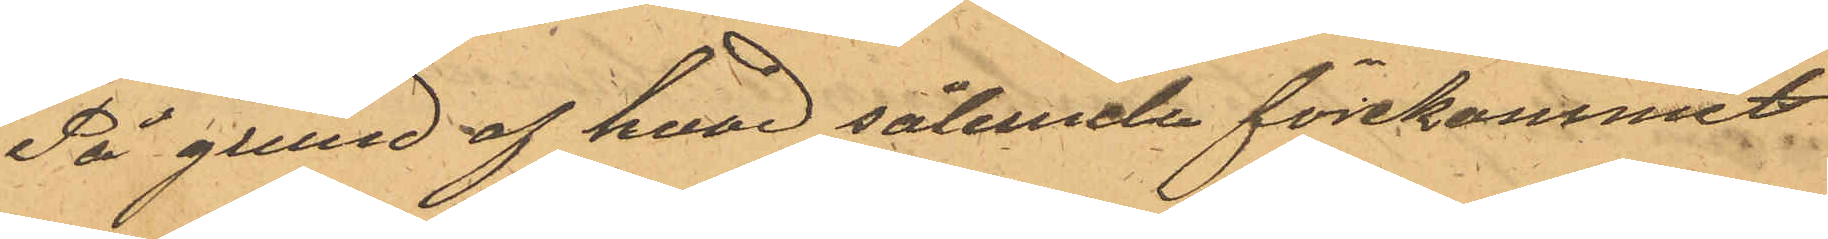På grund af hvad sålunda förekommit
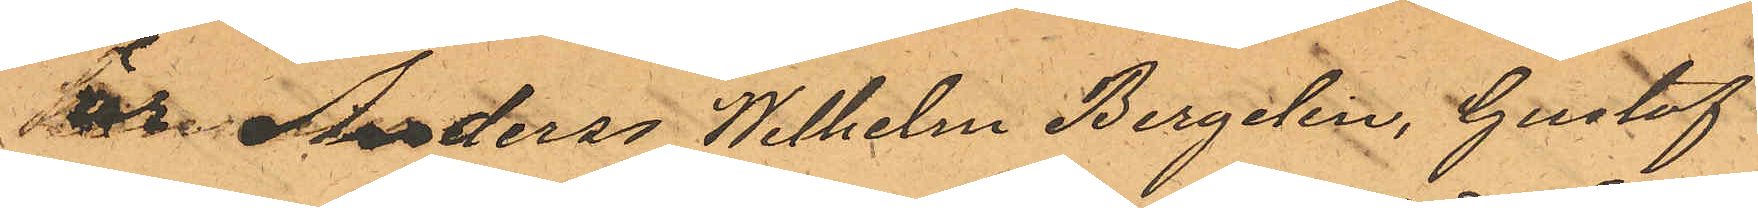är Anderss Wilhelm Bergelin, Gustaf
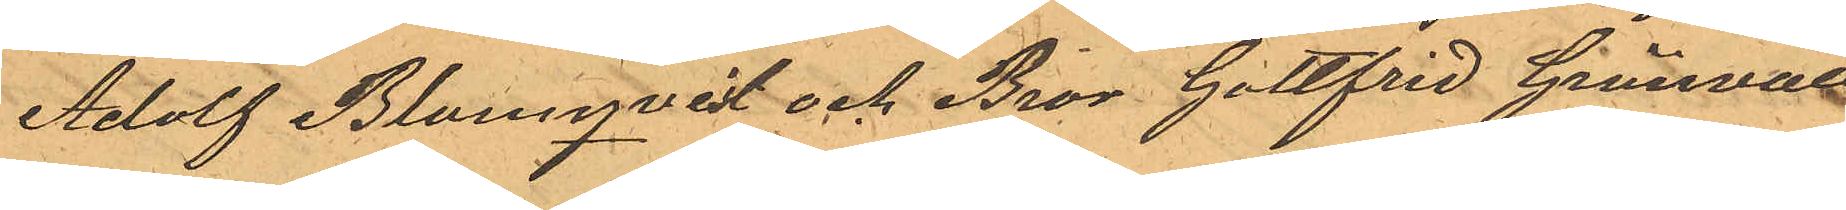Adolf Blomqvist och Bror Gottfrid Grönvall
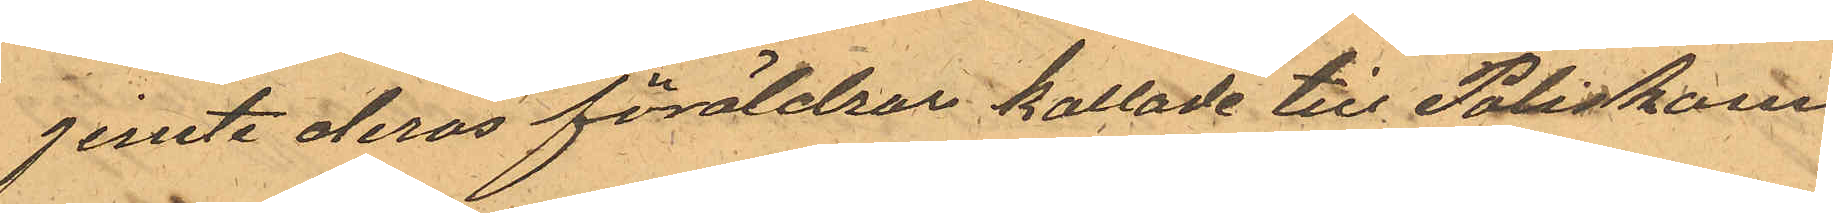jemte deras föräldrar kallade till Poliskam¬
